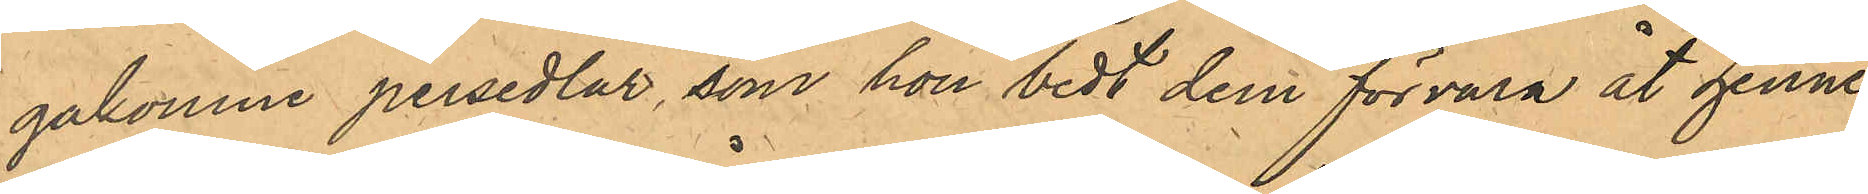gakomne persedlar, som hon bedt dem förvara åt henne;
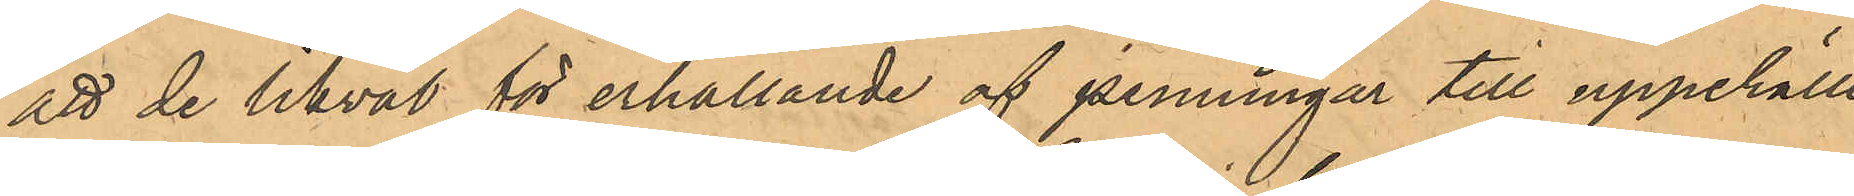att de likväl för erhållande af penningar till uppehälle
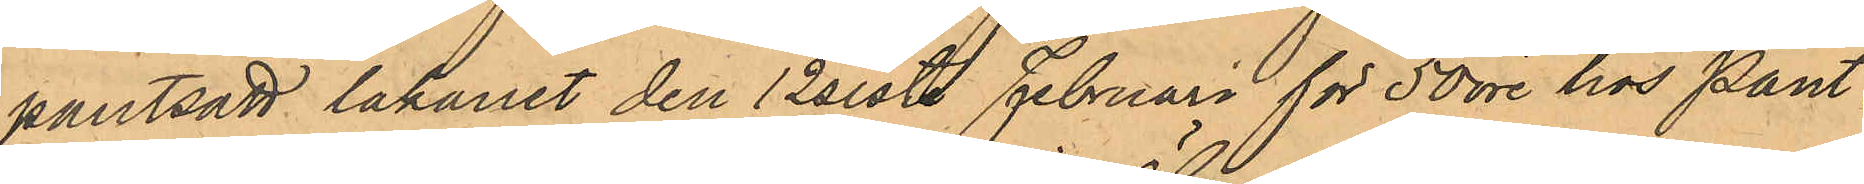pantsatt lakanet den 12 sistl. Februari för 50 öre hos Pant¬
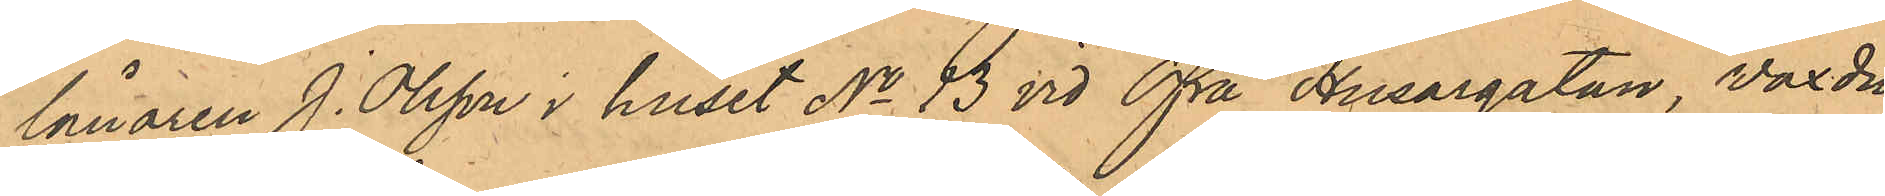lånaren J. Olsson i huset No 13 vid Öfra Husargatan, vaxdu¬
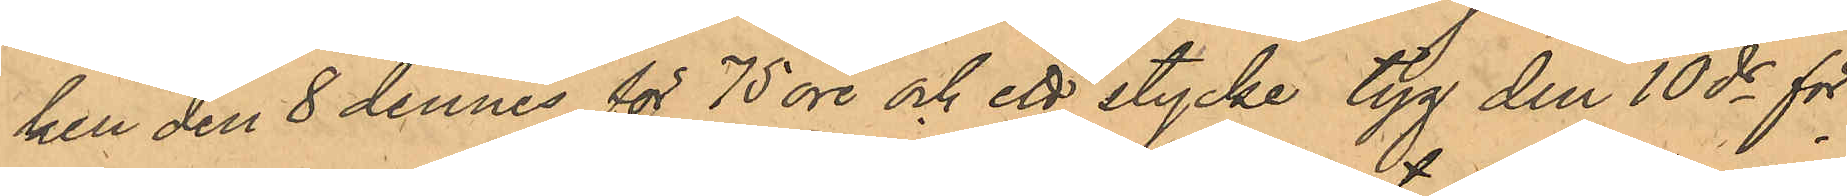ken den 8 dennes för 75 öre och ett stycke tyg den 10 ds för
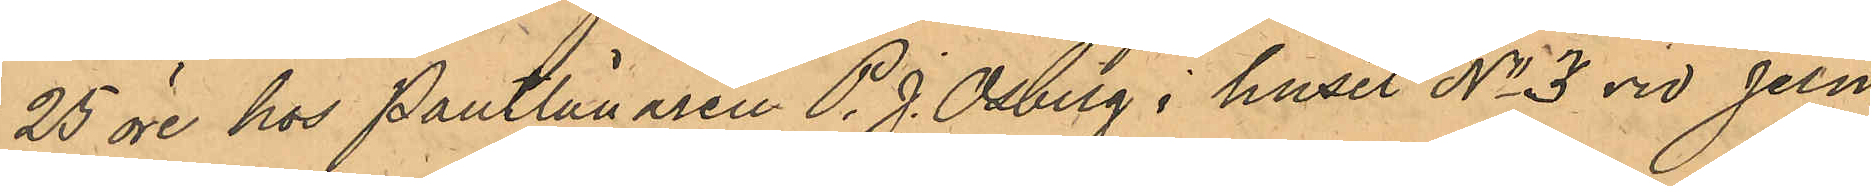25 öre hos Pantlånaren P. J. Osberg i huset No 3 vid Jern¬
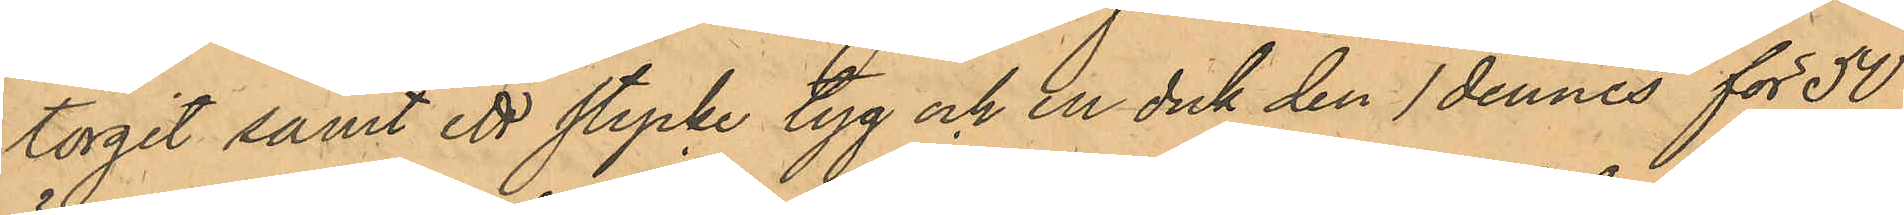torget samt ett stycke tyg och en duk den 1 dennes för 50
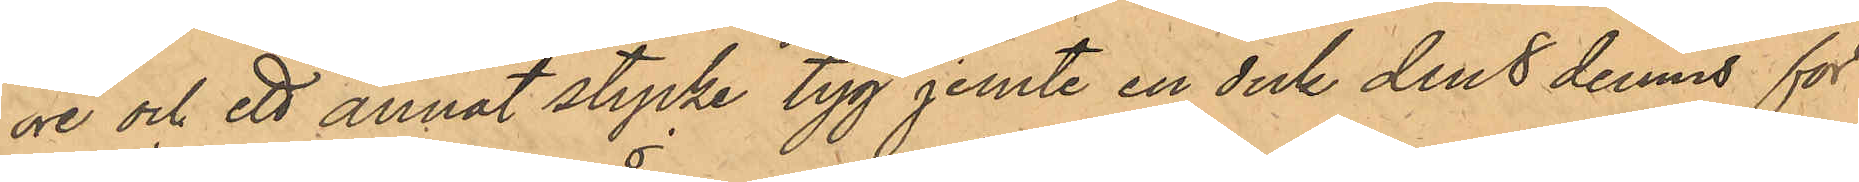öre och ett annat stycke tyg jemte en duk den 8 dennes för
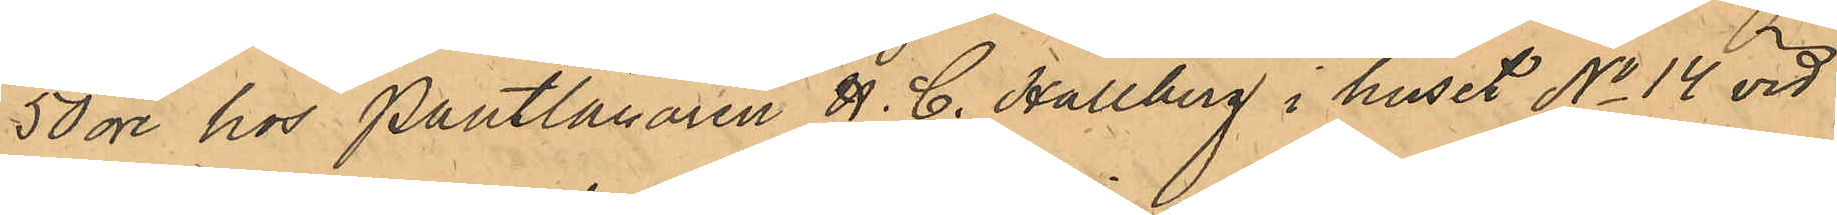50 öre hos Pantlånaren H. C. Hallberg i huset No 14 vid
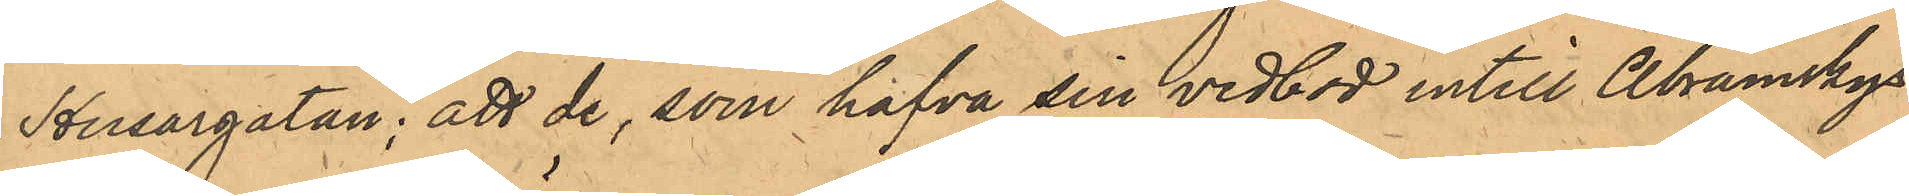Husargatan; att de, som hafva sin vedbod intill Abramskys
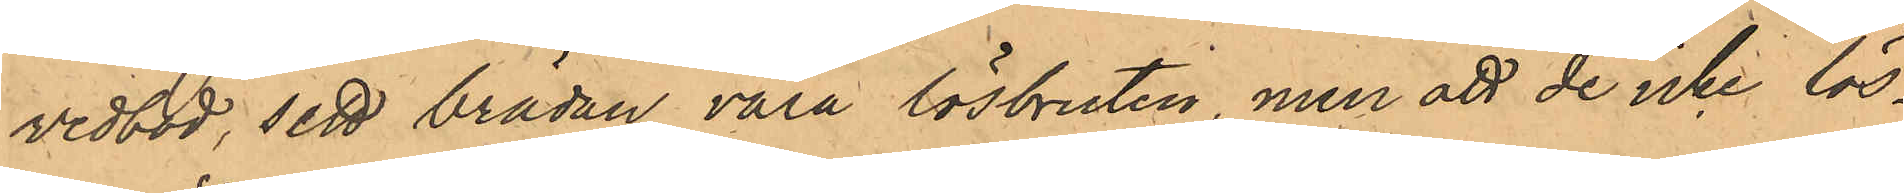vedbod, sett brädan vara lösbruten, men att de icke lös¬
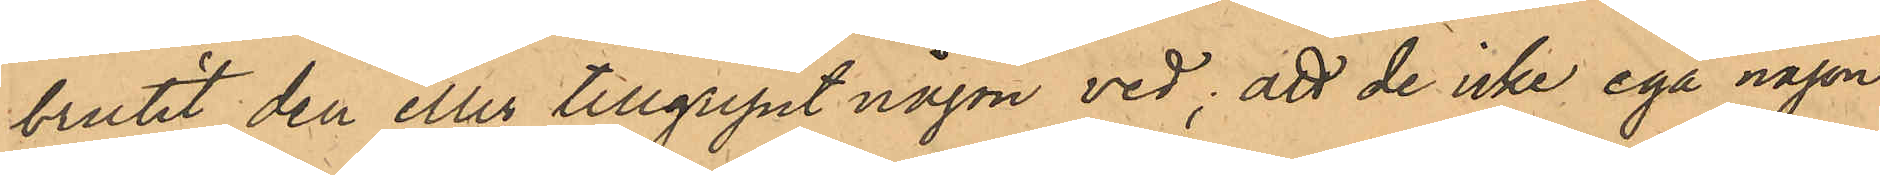brutit den eller tillgripit någon ved; att de icke ega någon
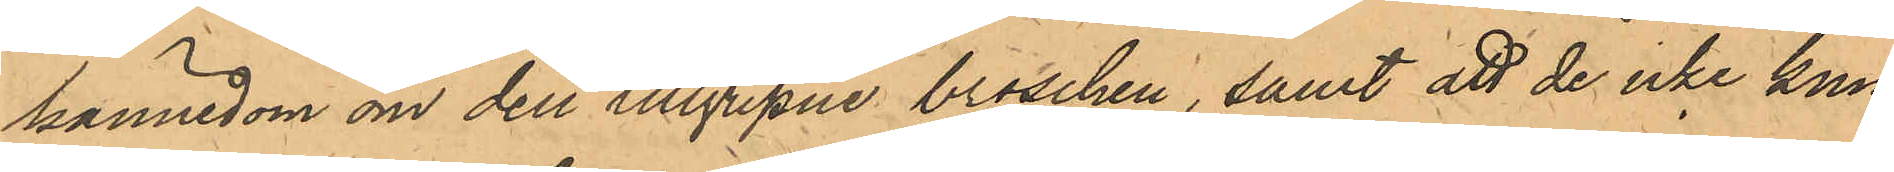kännedom om den tillgripne broschen, samt att de icke kun¬
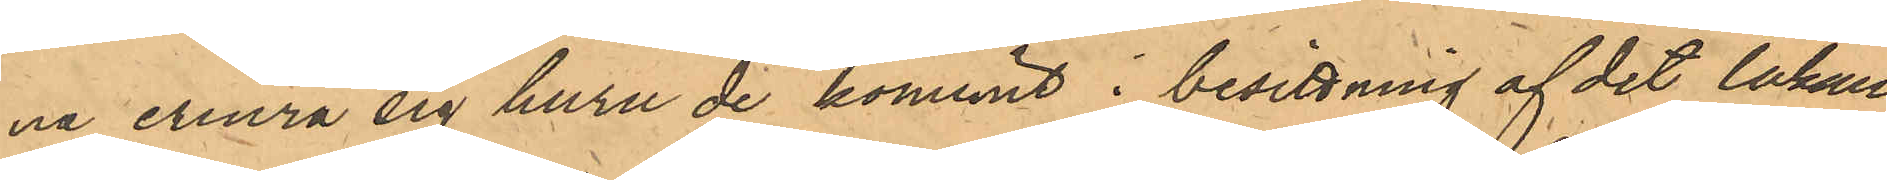na erinra sig huru de kommit i besittning af det lakan,
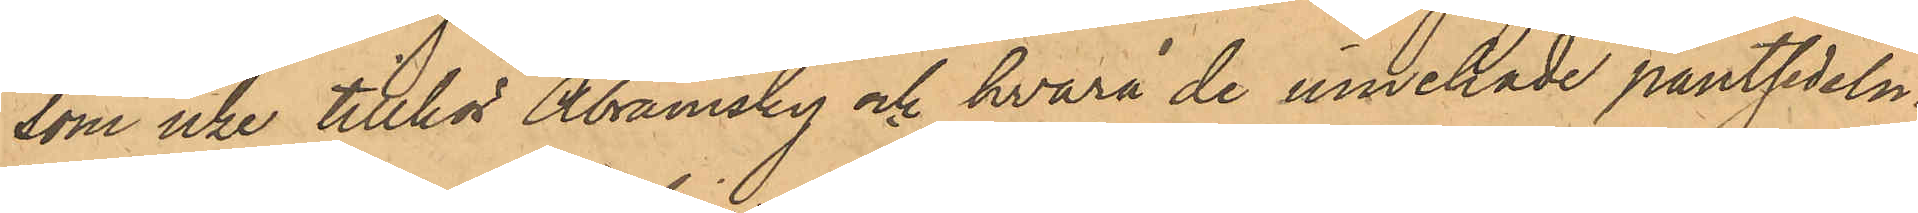som icke tillhör Abramsky och hvarå de innehade pantsedeln.
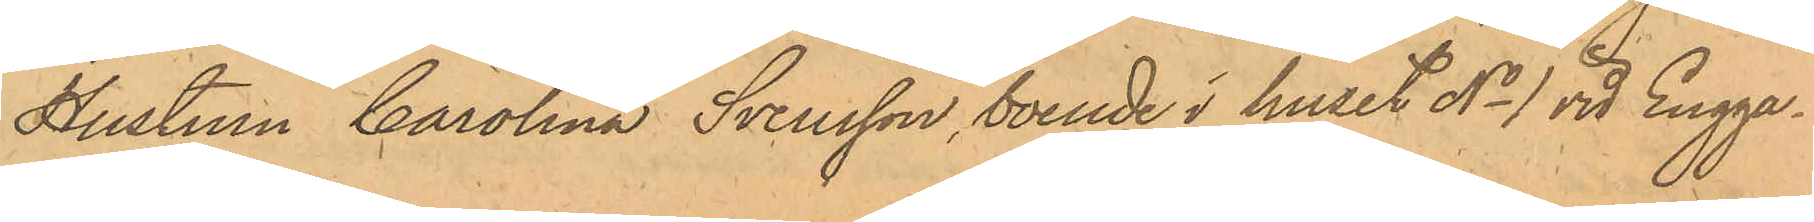Hustrun Carolina Svensson, boende i huset No 1 vid Engga¬
